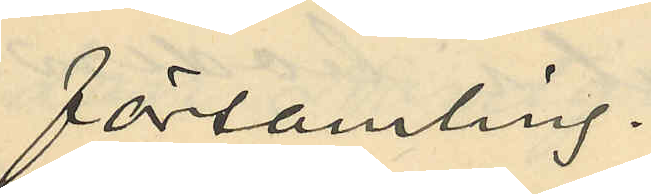församling.
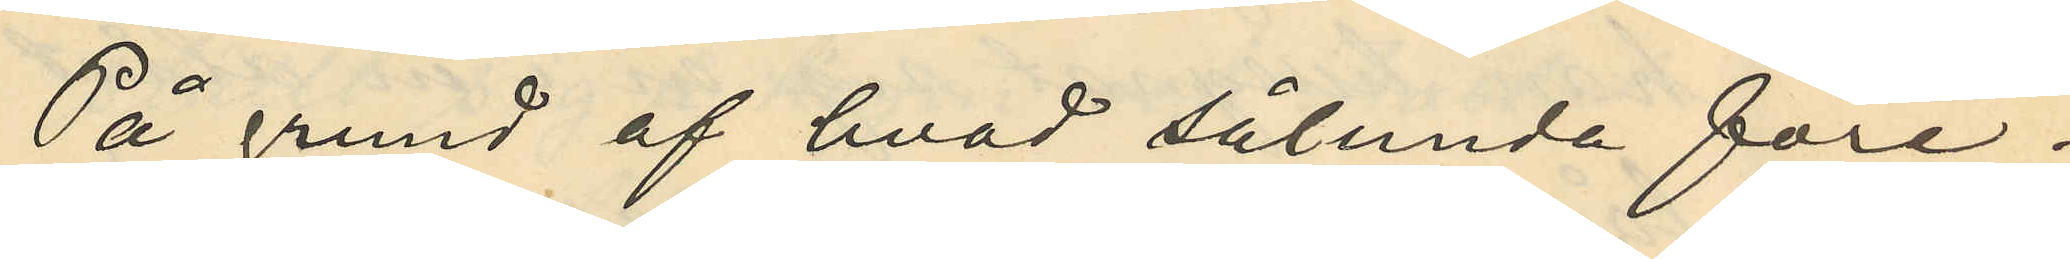På grund af hvad sålunda före¬
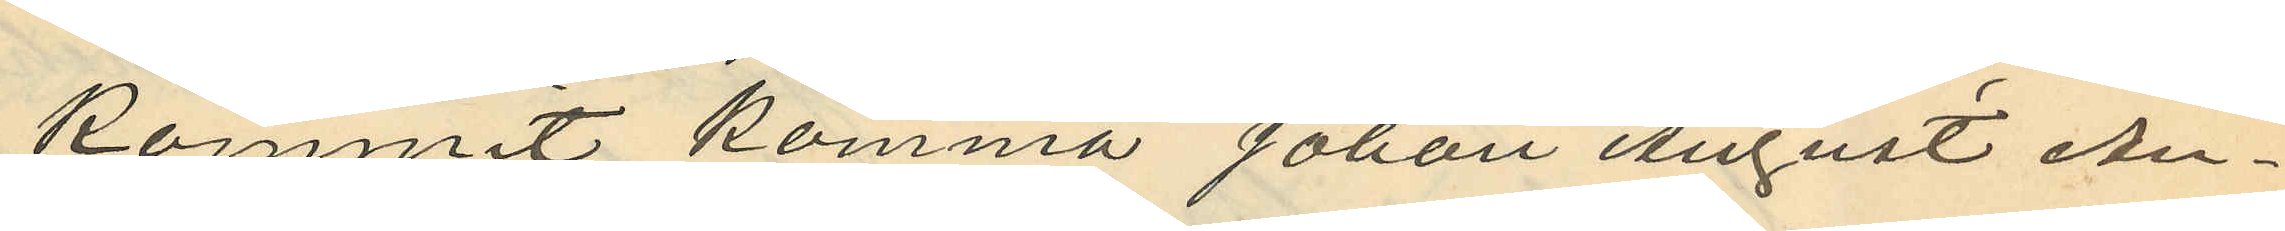kommit komma Johan August An¬
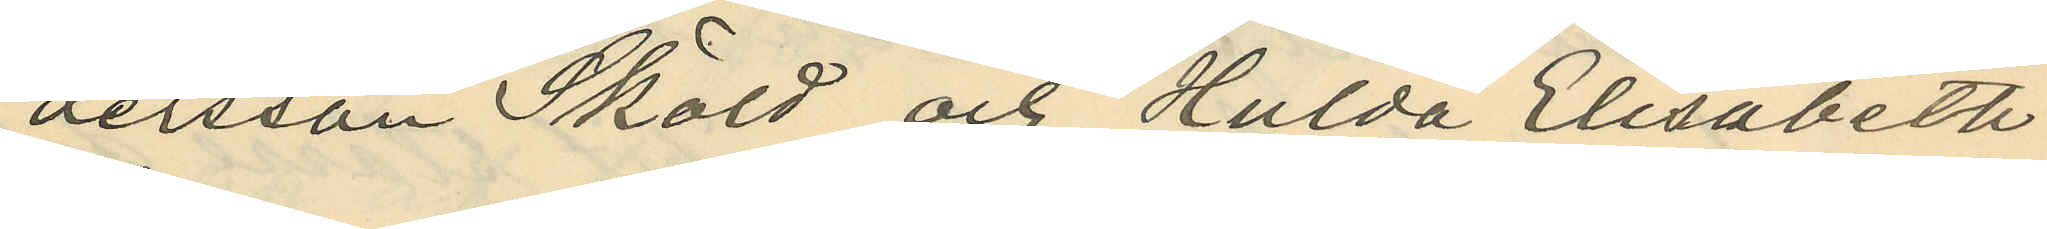dersson Sköld och Hulda Elisabeth
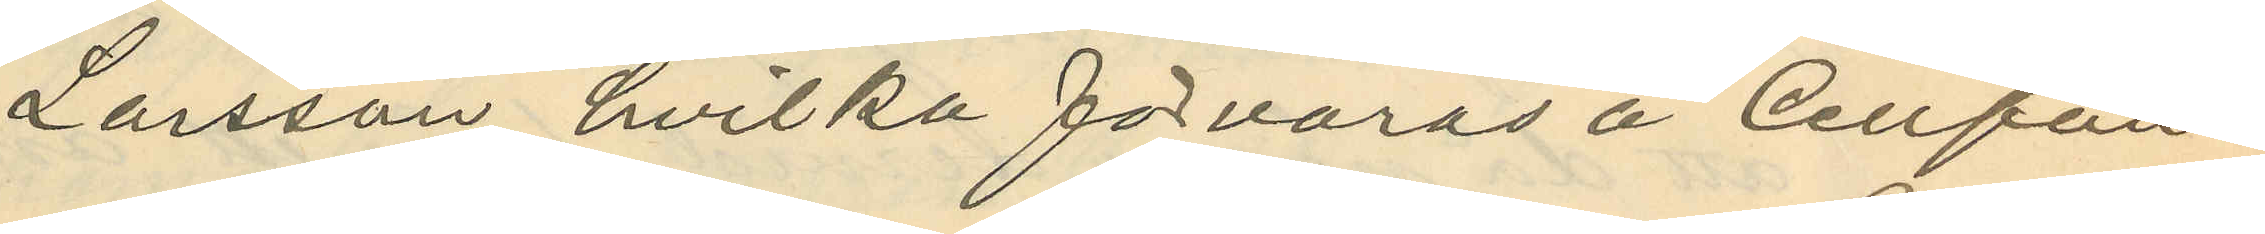Larsson hvilka förvaras å Cellfän¬
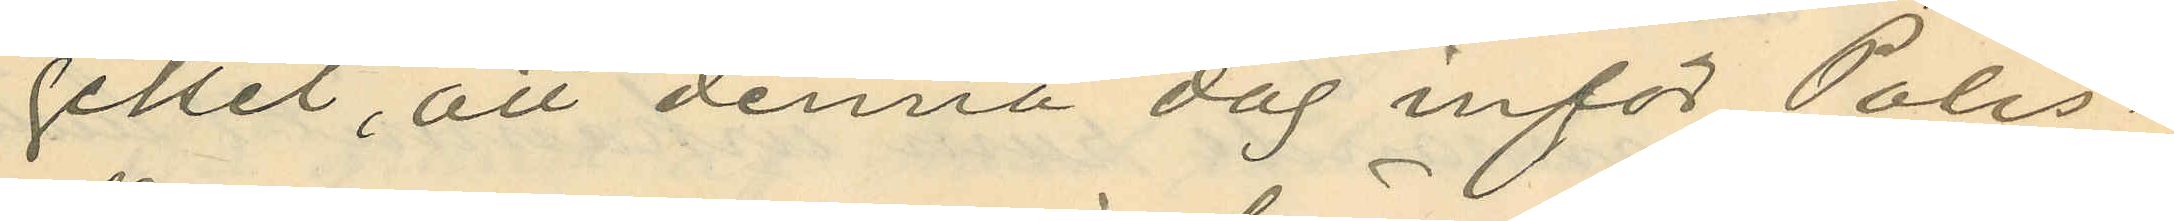gelset, att denna dag inför Polis¬
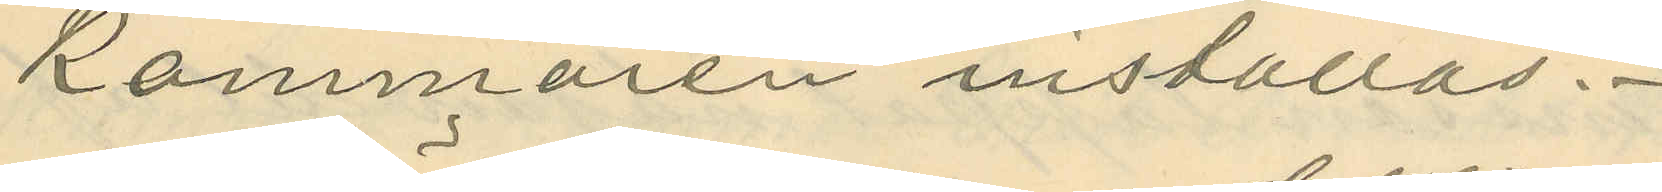kammaren inställas.
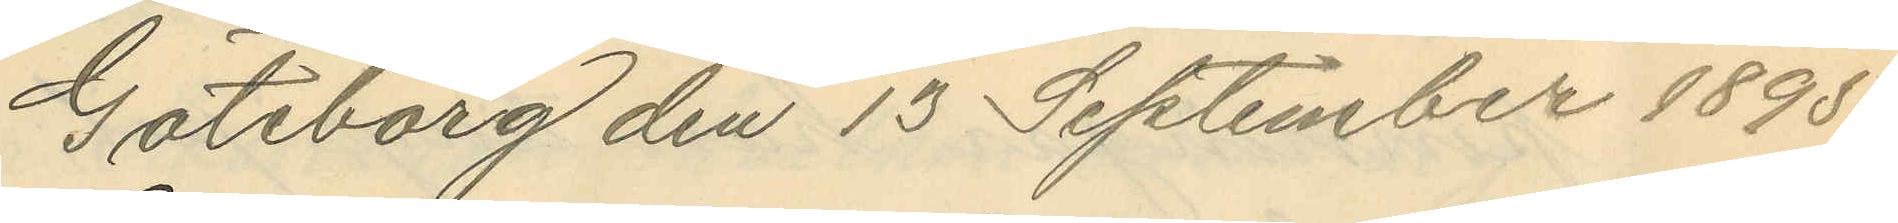Göteborg den 13 September 1895.
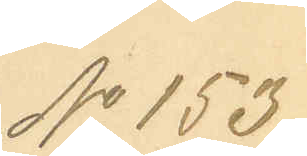No 153.
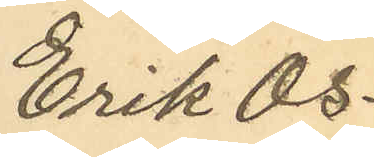Erik Os¬
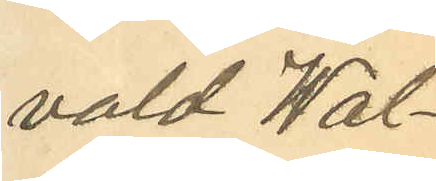vald Wal¬
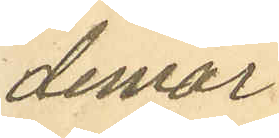demar
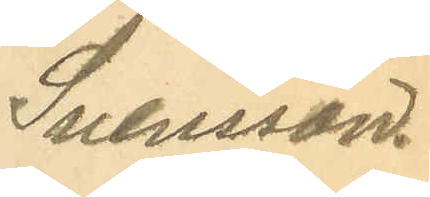Svensson.
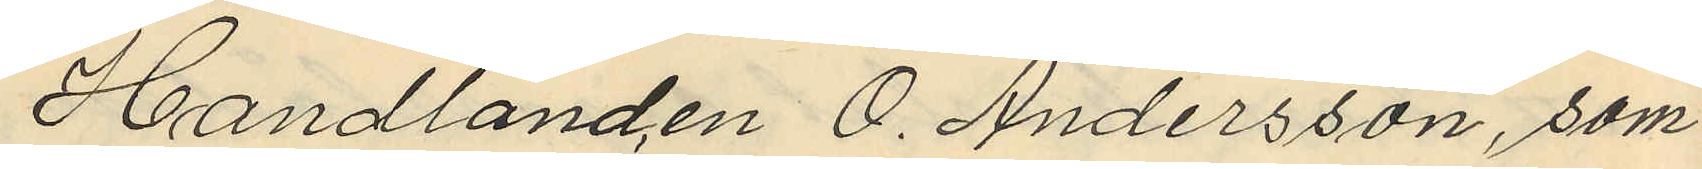Handlanden O. Andersson, som
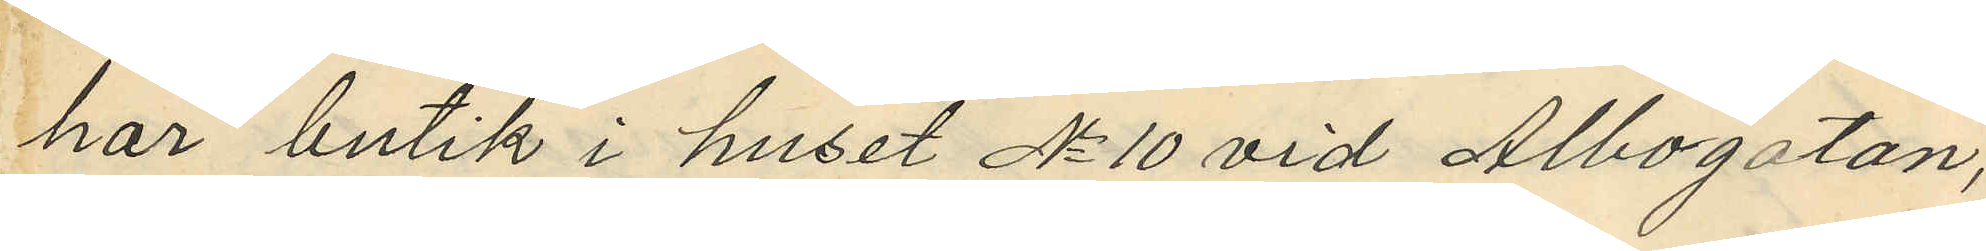har butik i huset No 10 vid Albogatan,
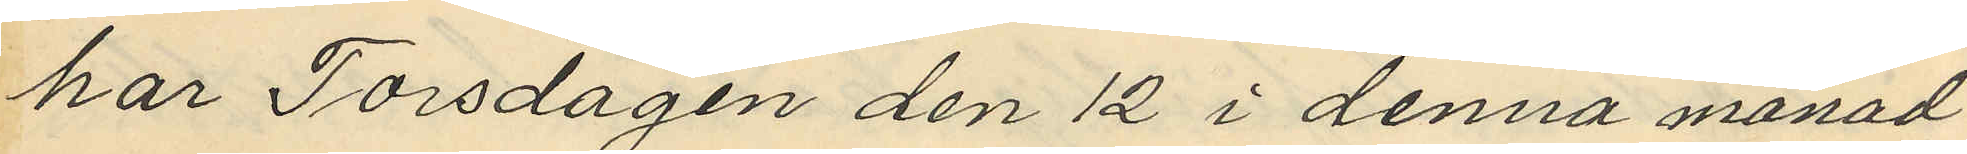har Torsdagen den 12 i denna månad
